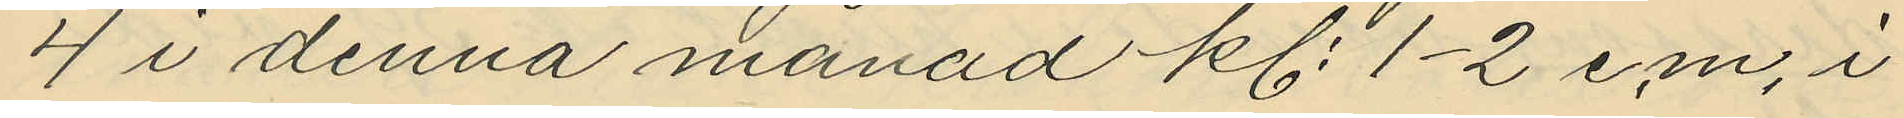4 i denna månad kl. 1-2 em. i
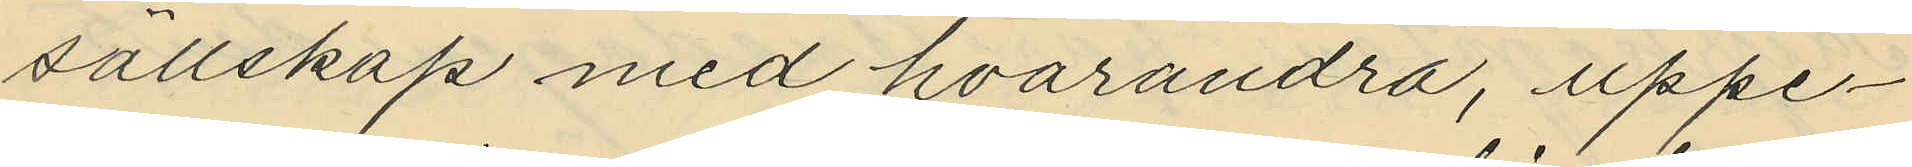sällskap med hvarandra, uppe¬
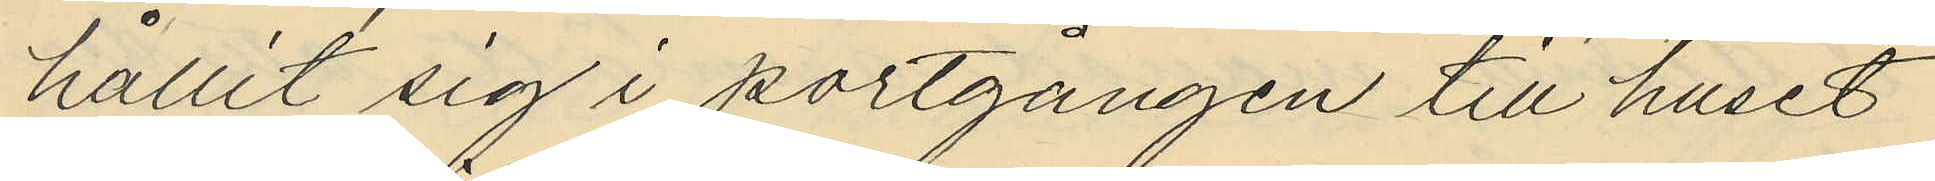hållit sig i portgången till huset
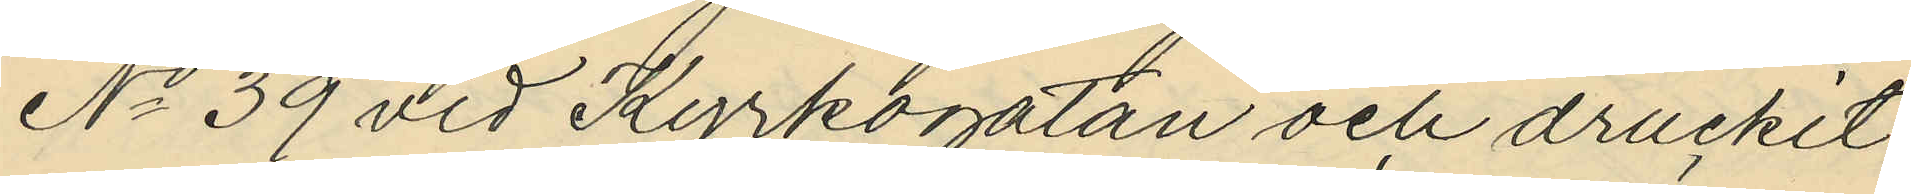No 39 vid Kyrkogatan och druckit
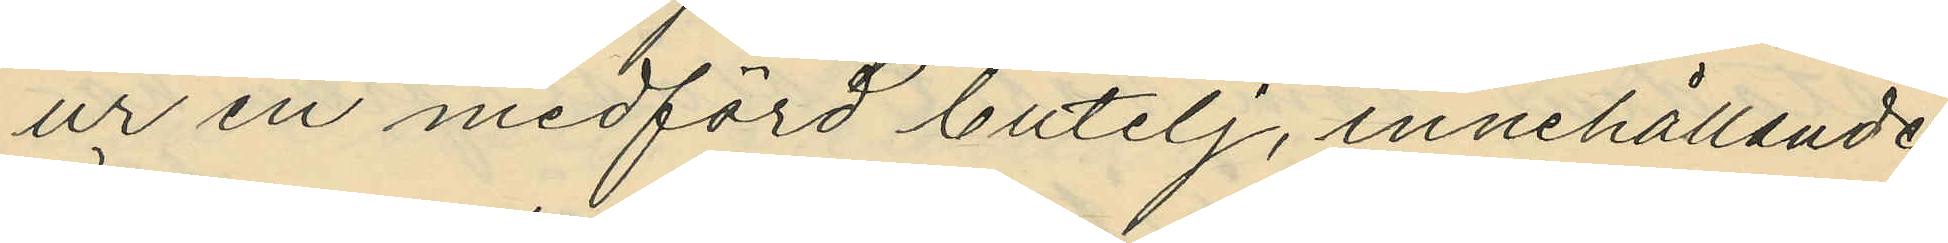ur en medförd butelj, innehållande
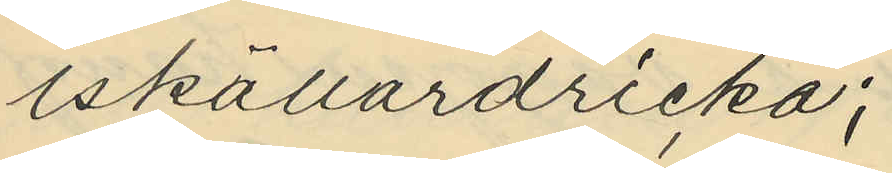iskällardricka;
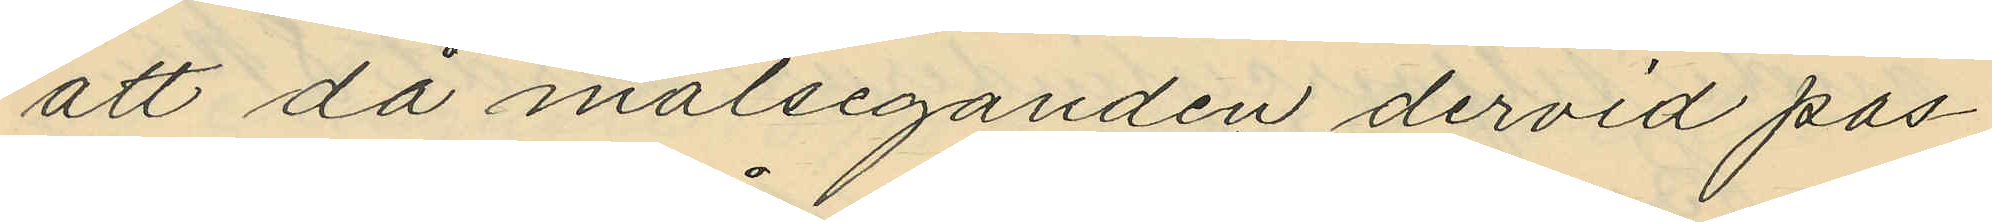att då målseganden dervid pas¬
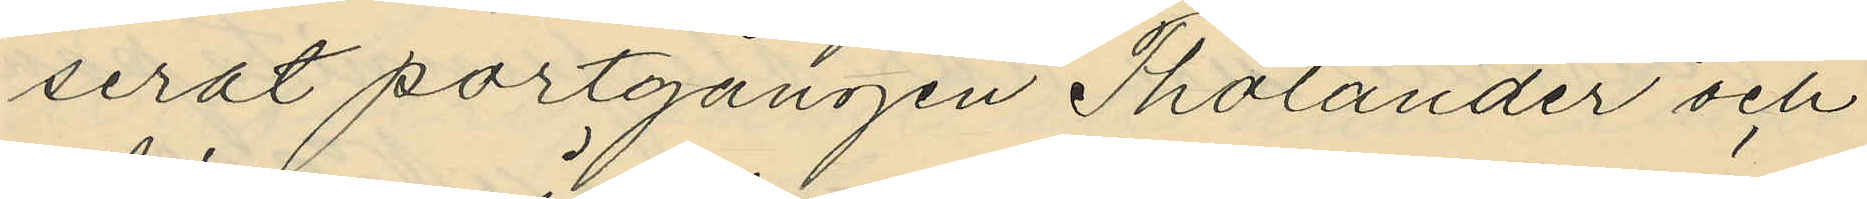serat portgången Tholander och
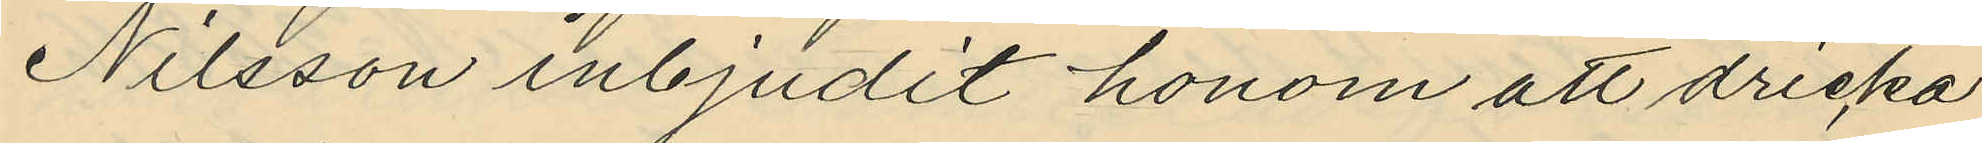Nilsson inbjudit honom att dricka
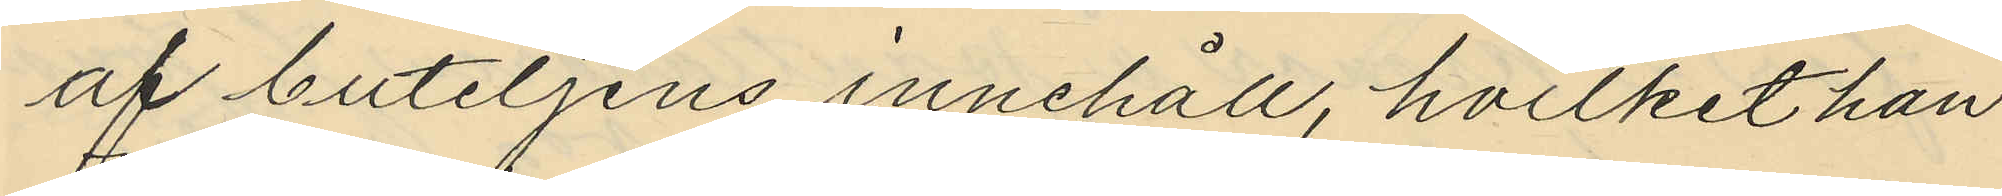af buteljens innehåll, hvilket han
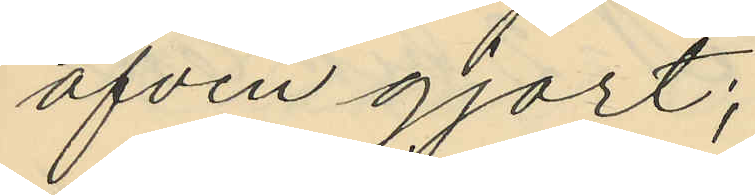äfven gjort;
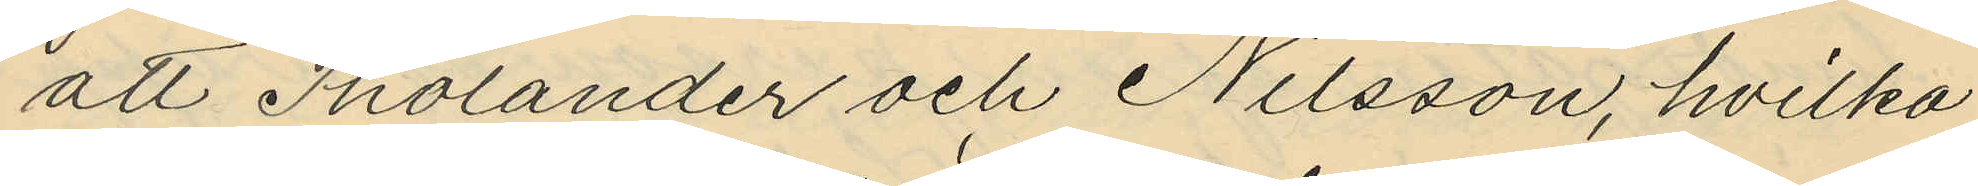att Tholander och Nilsson, hvilka
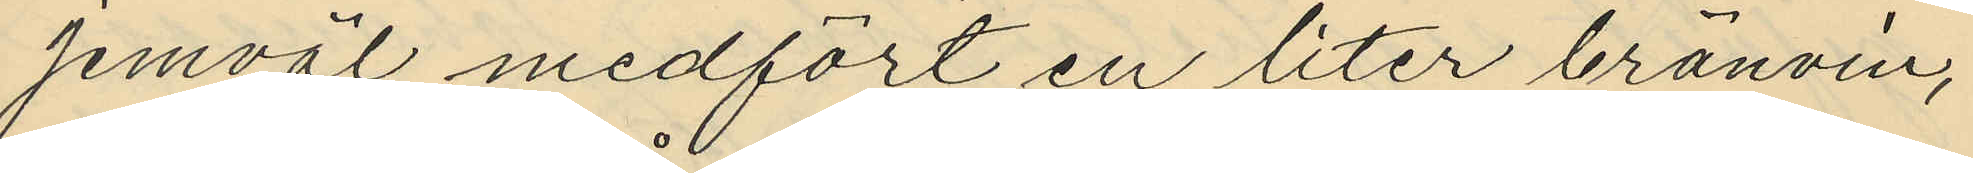jemväl medfört en liter bränvin,
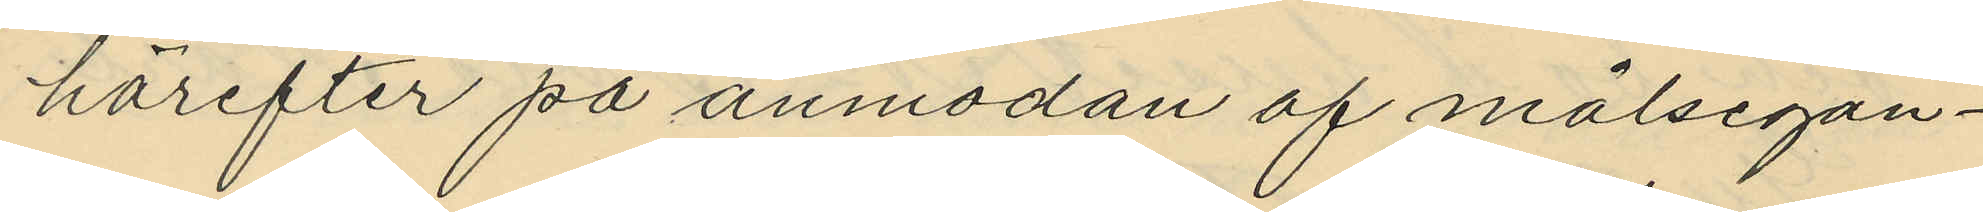härefter på anmodan af målsegan¬
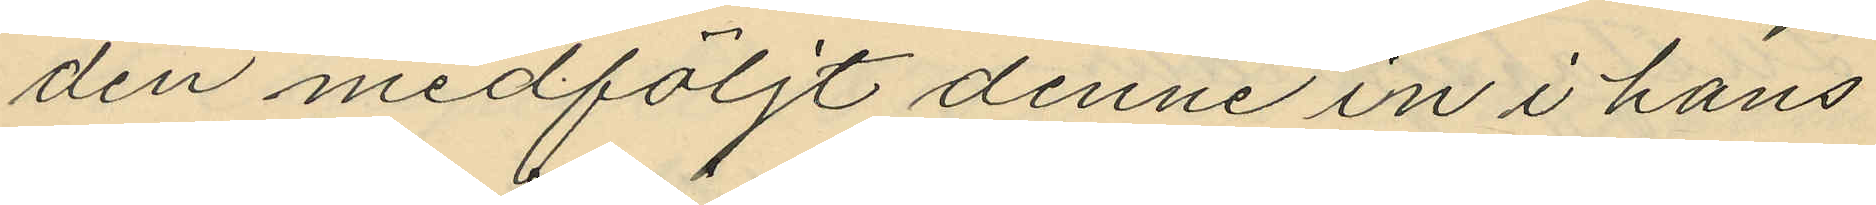den medföljt denne in i hans
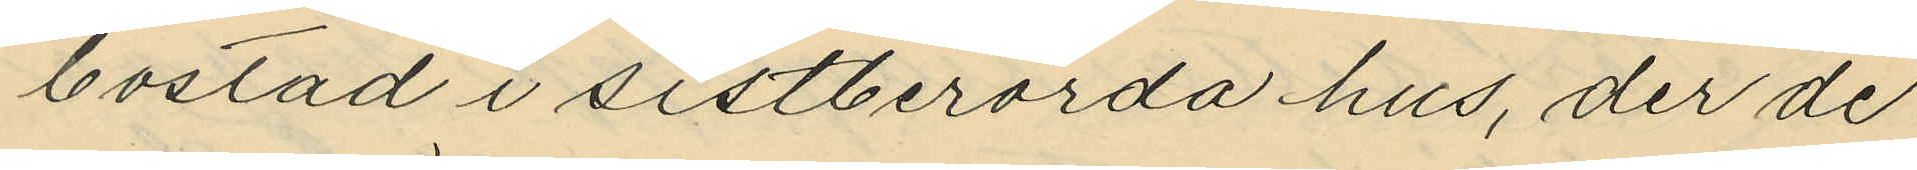bostad i sistberörda hus, der de
